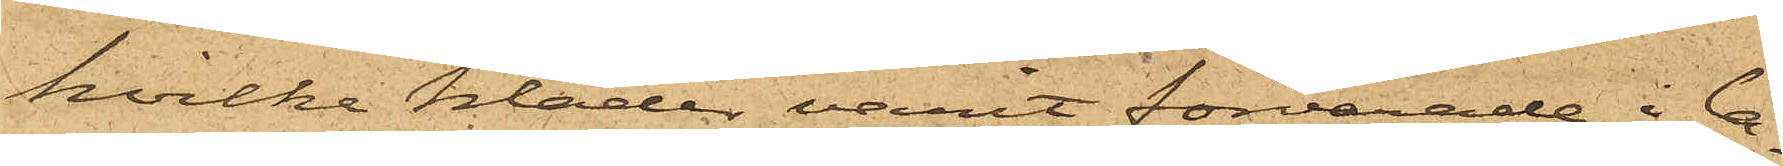hvilka kläder varit förvarade i la¬
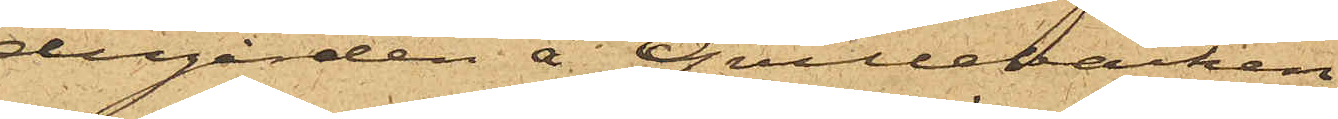dugården å Qvillebäcken
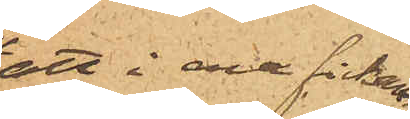att i ena fickan
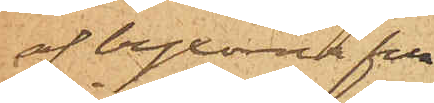af byxorna fun¬
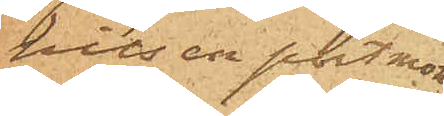nits en portmon¬
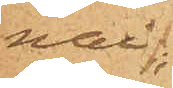nai;
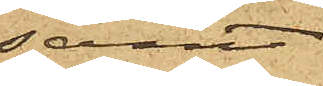samt
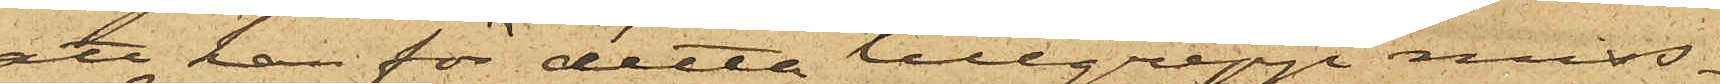att han för detta tillgrepp miss¬
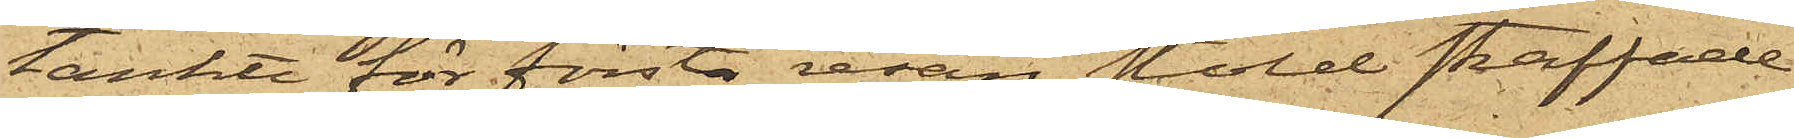tänkte för första resan stöld straffade
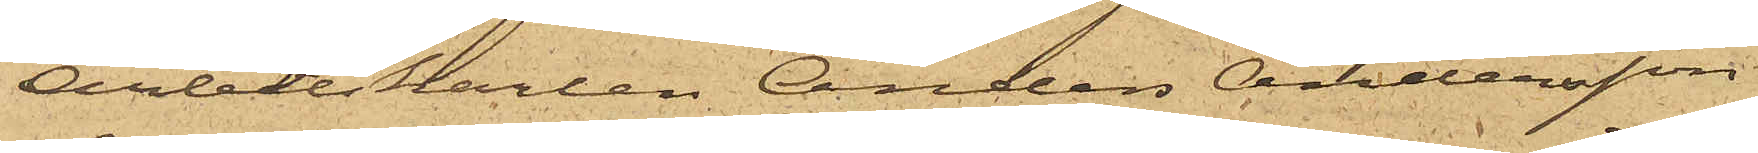Arbetskarlen Anders Andersson
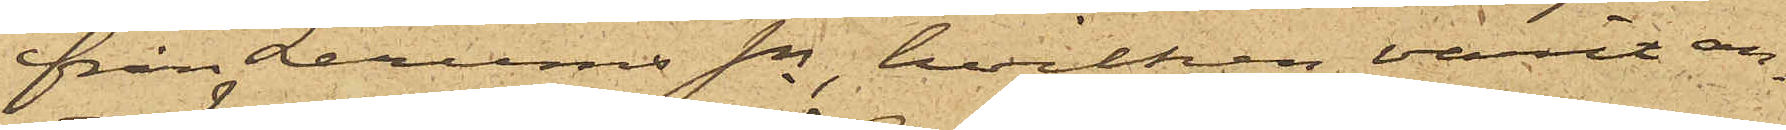från Lerums Sn, hvilken varit an¬
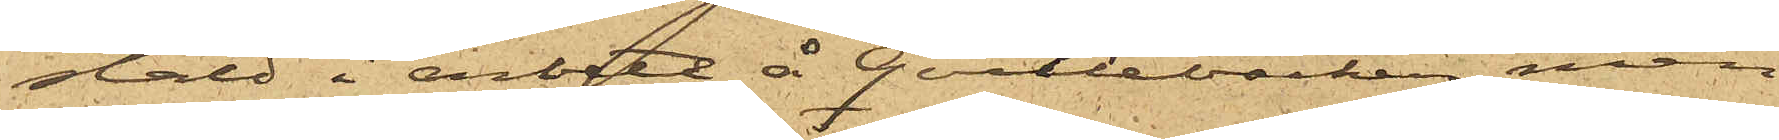stäld i arbete å Qvillebäcken, men
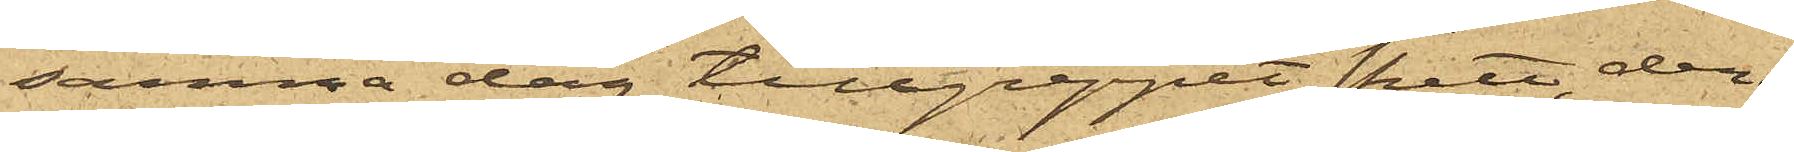samma dag tillgreppet skett, deri¬
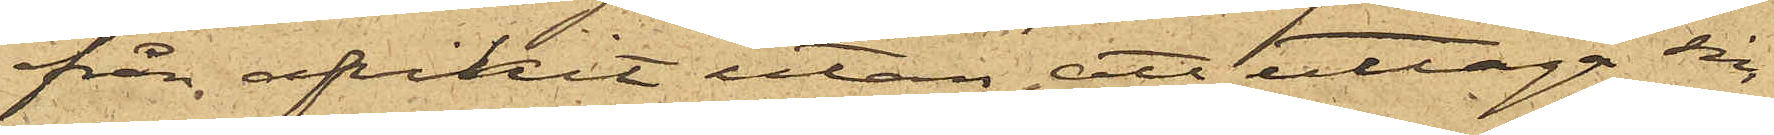från afvikit utan att uttaga sin
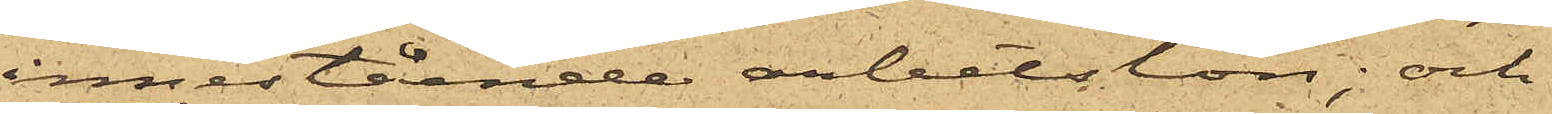innestående arbetslön; och
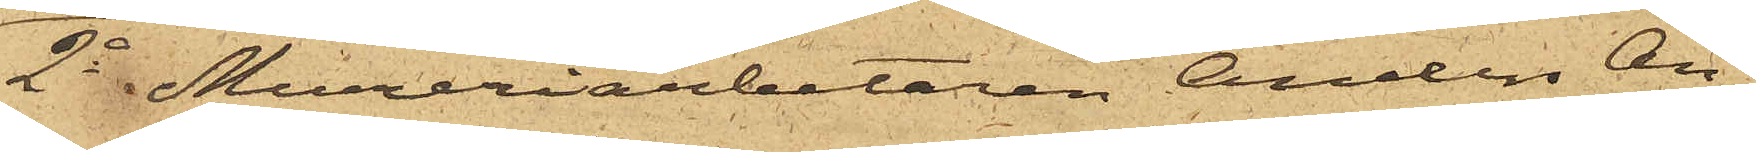2o Mureriarbetaren Anders An¬
